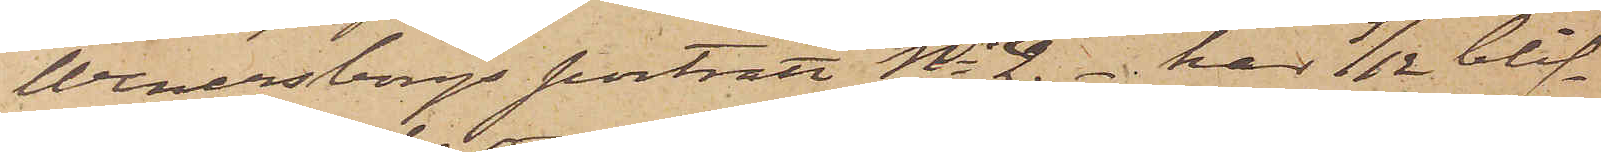Wenersborgs porträtt No 2 _  har 9/12 blif¬
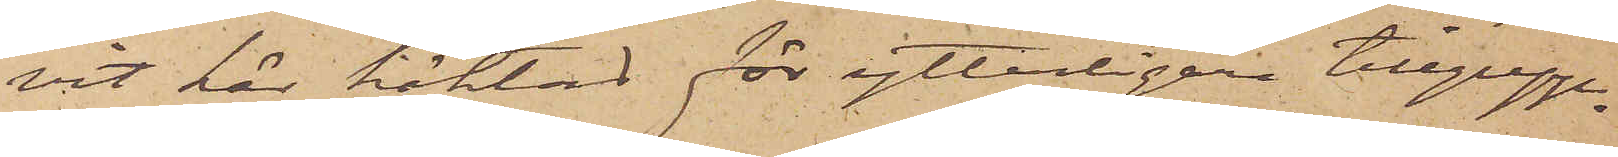vit här häktad för ytterligare tillgrepp.
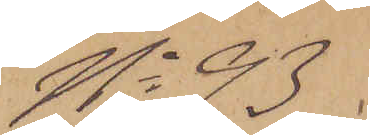No 93
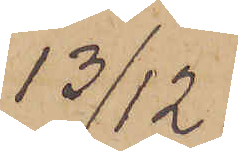13/12.
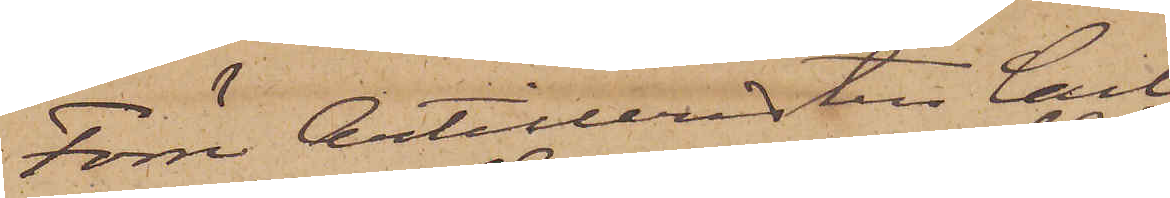Förre Artilleristen Carl
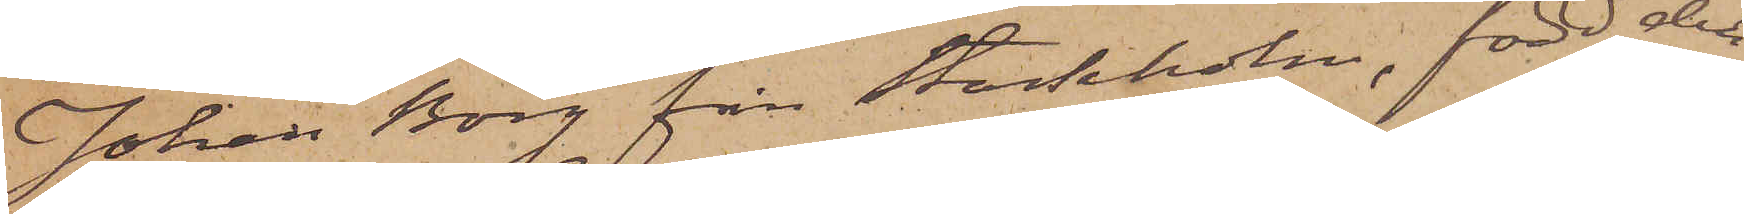Johan Borg från Stockholm, född den
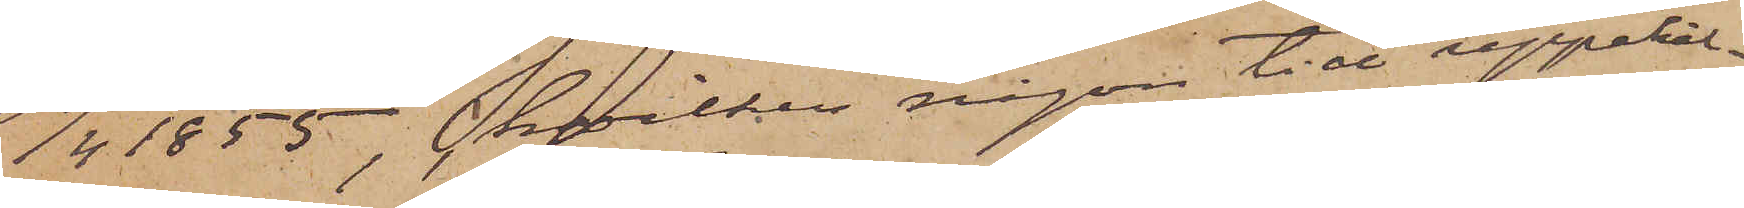1/4 1855, hvilken någon tid uppehål¬
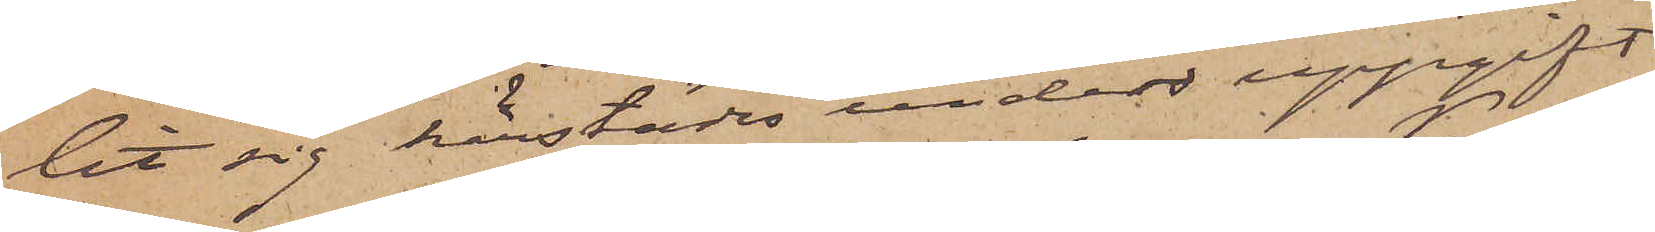lit sig härstädes under uppgift
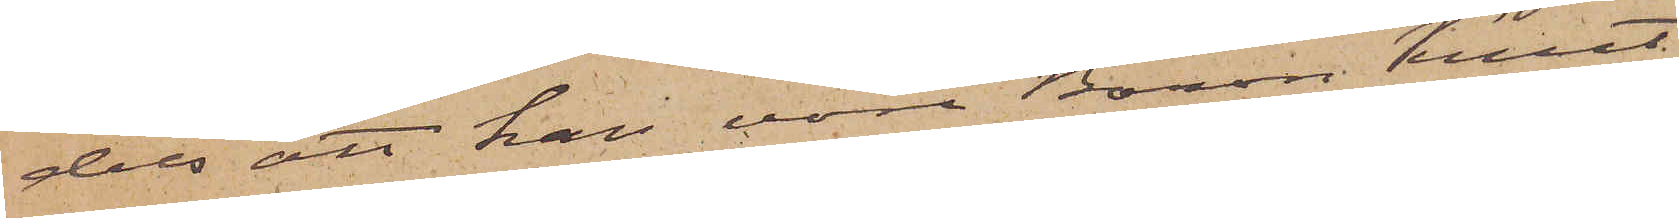dels att han vore Baron Knut
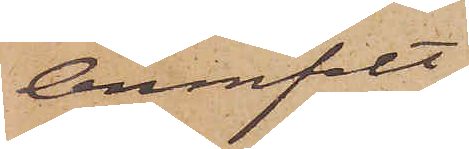Armfelt
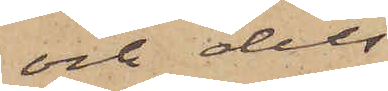och dels
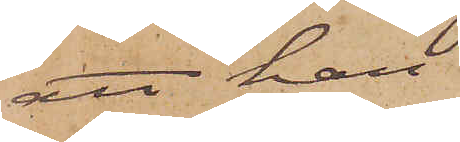att han
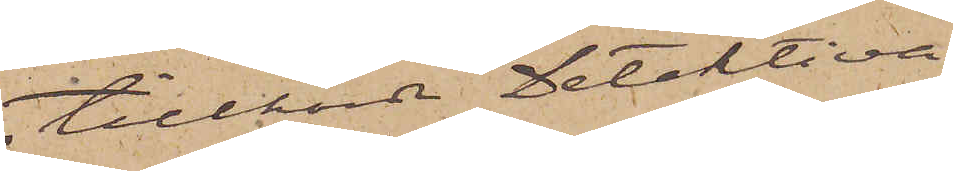tillhörde Detektiva
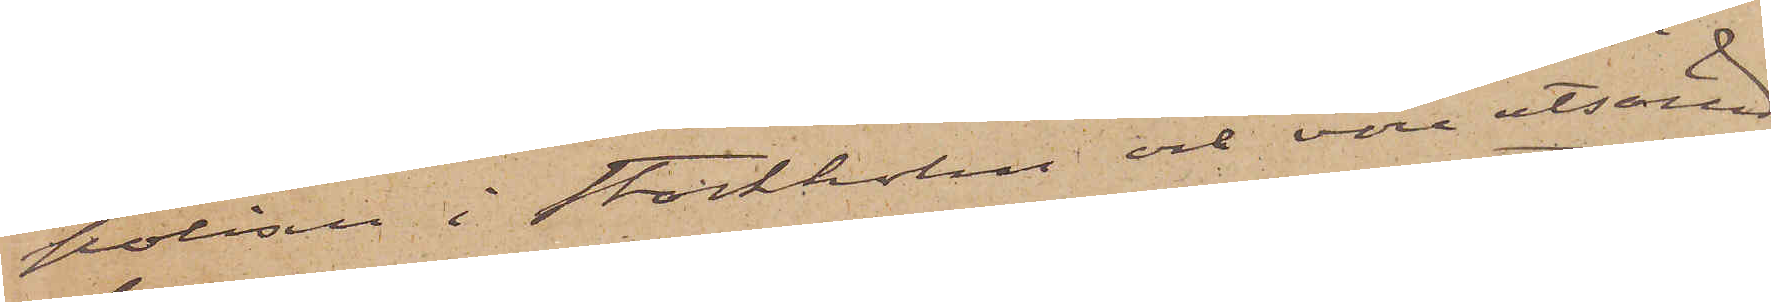polisen i Stockholm och vore utsänd
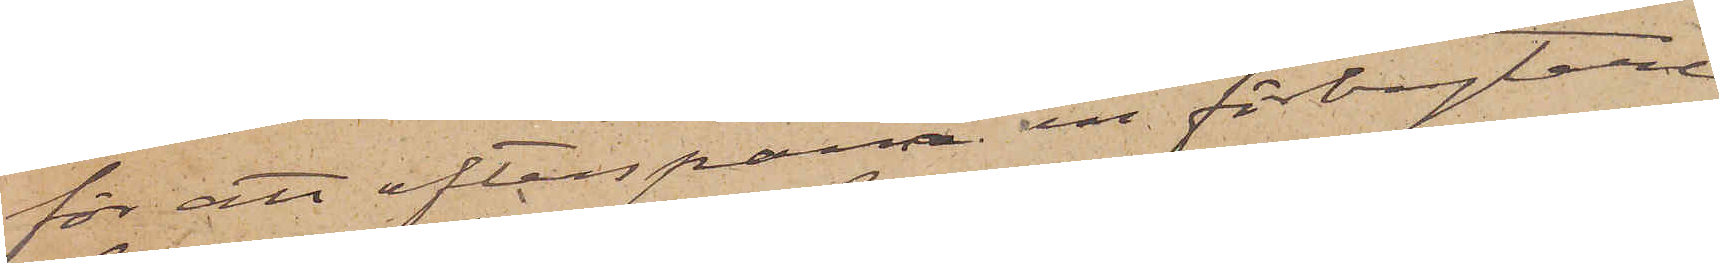för att efterspana en förbrytare
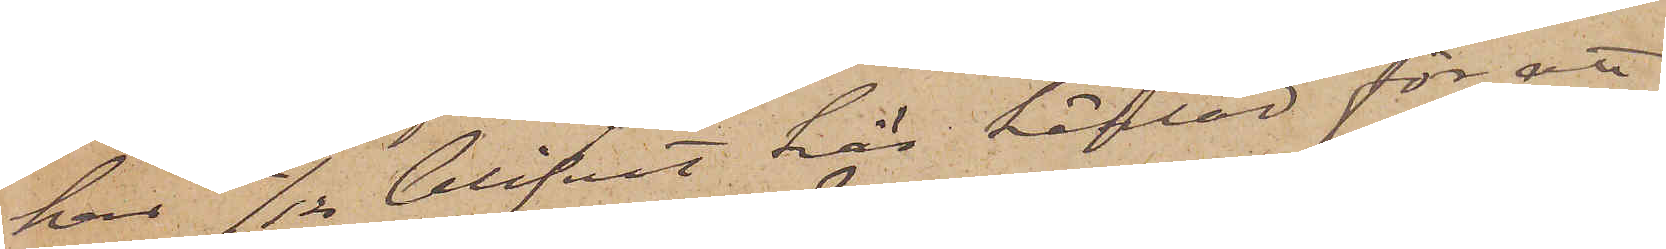har 12/12 blifvit här häktad för att
